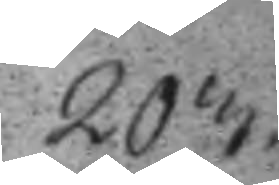203.
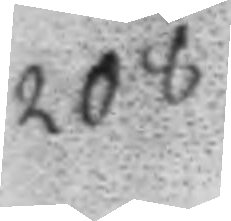208.
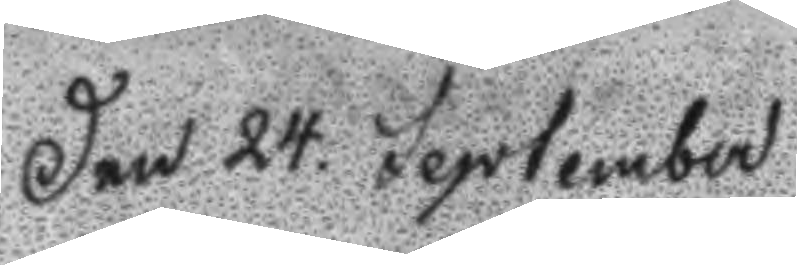Den 24. September
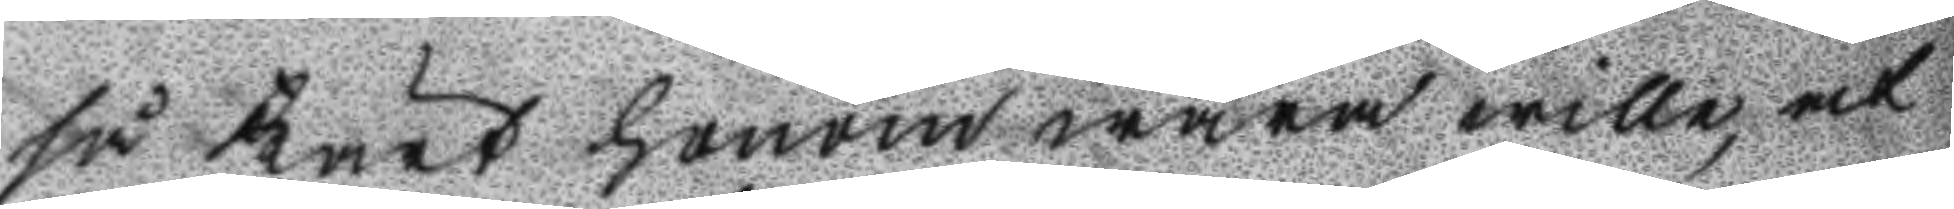så kärt honom wara willw, at
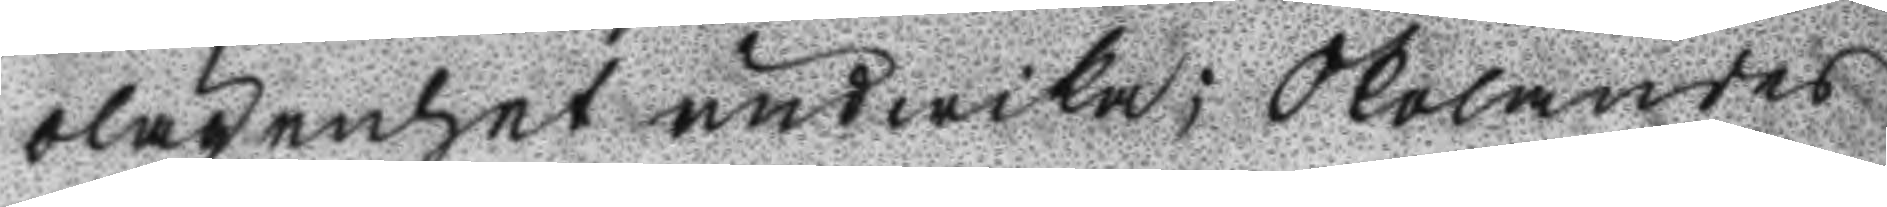olägenhet undwika; Skolandes
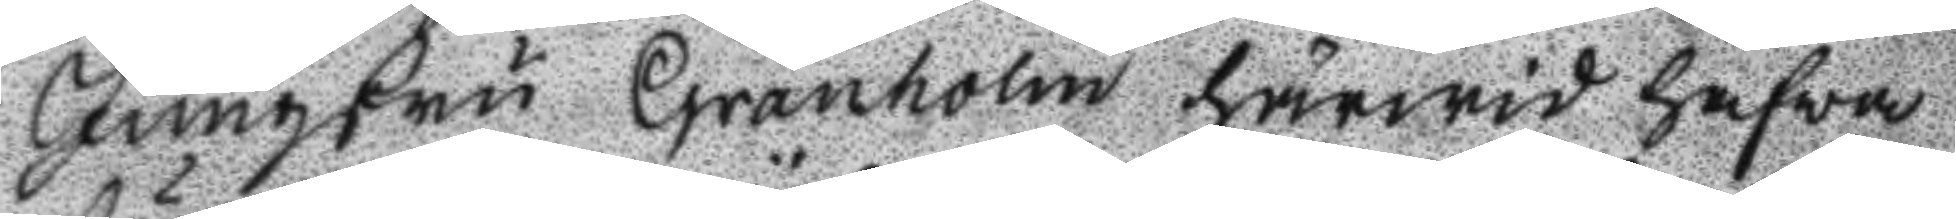Jungfru Granholm härwid hafwa
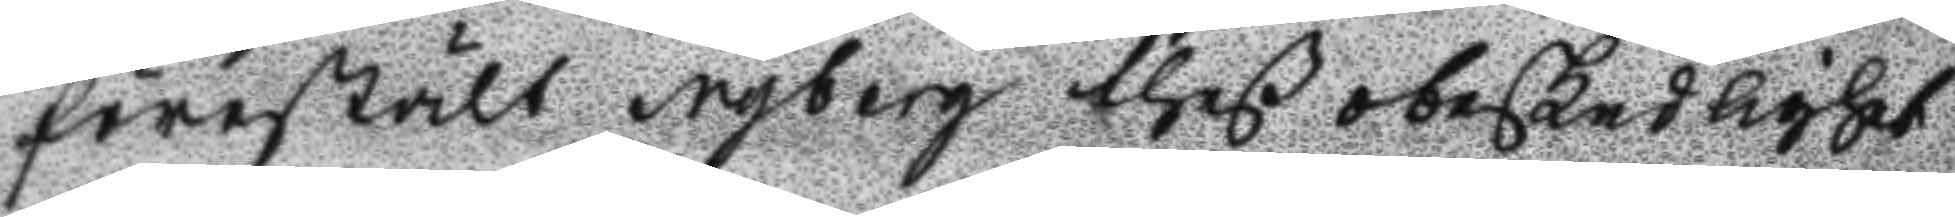föreställt Nyberg theß obeskedlighet
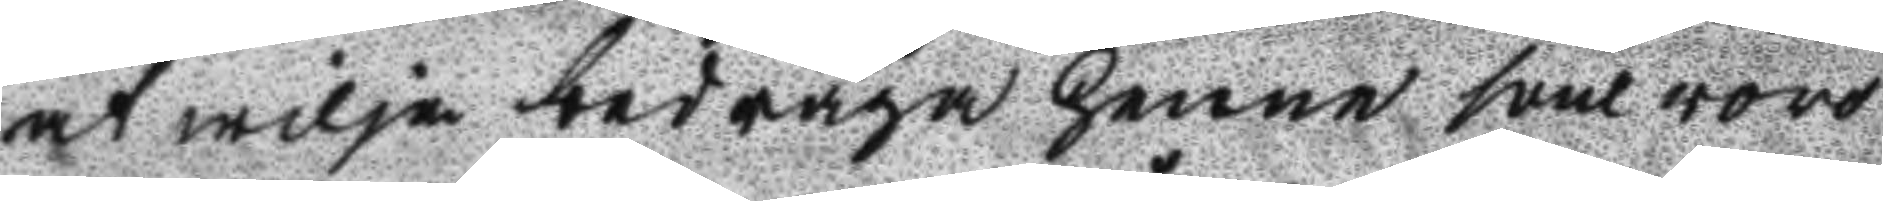at wilja bedrag henne som wore
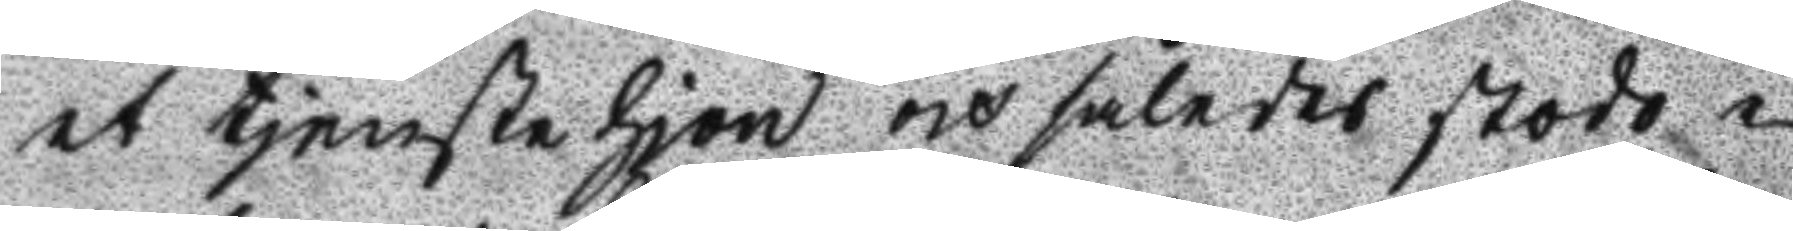et tjenstehjon och således stodo i
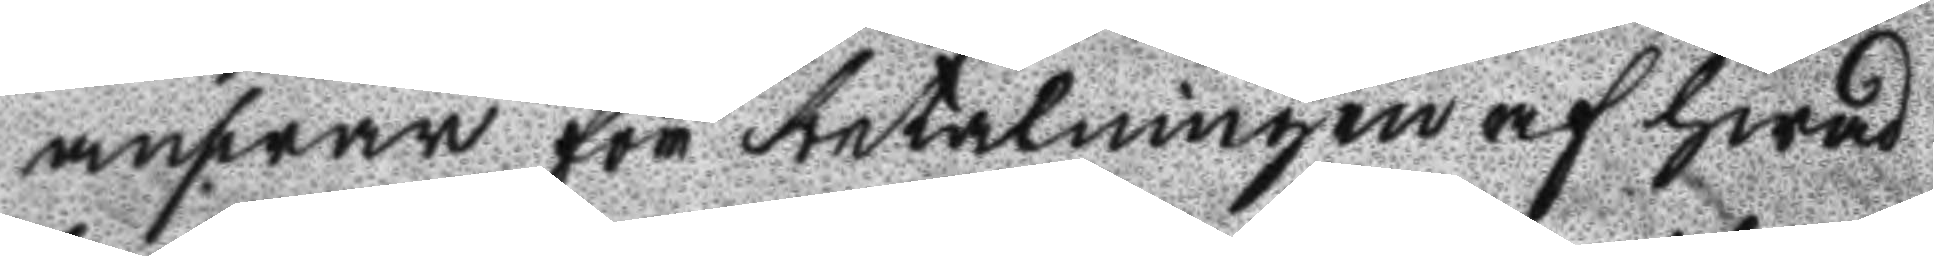answar för betalningen af hwad
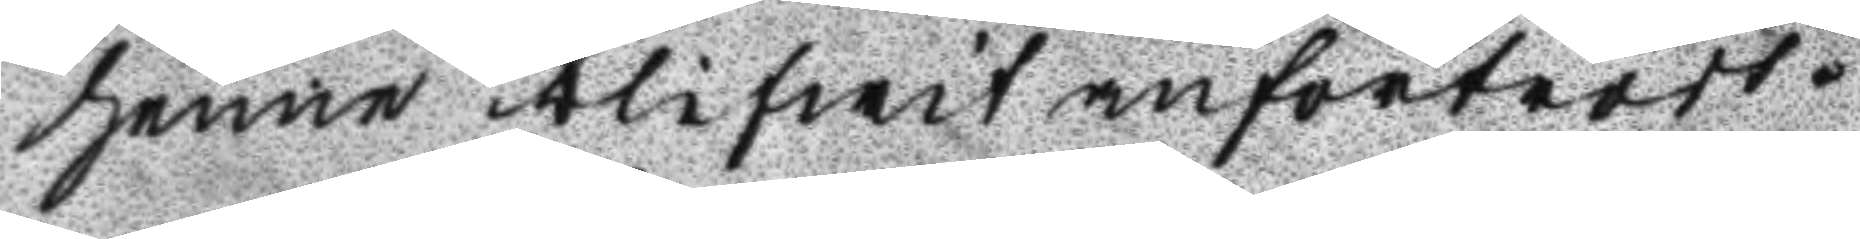henne blifwit anförtrodt.
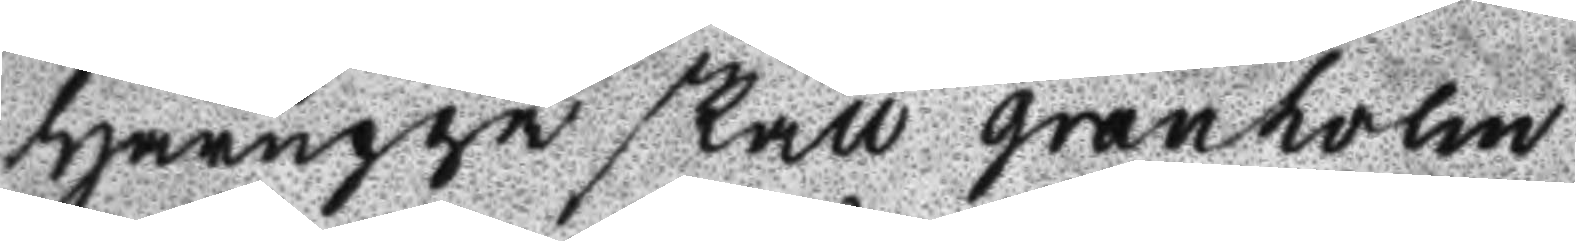Häruppå skall granholm
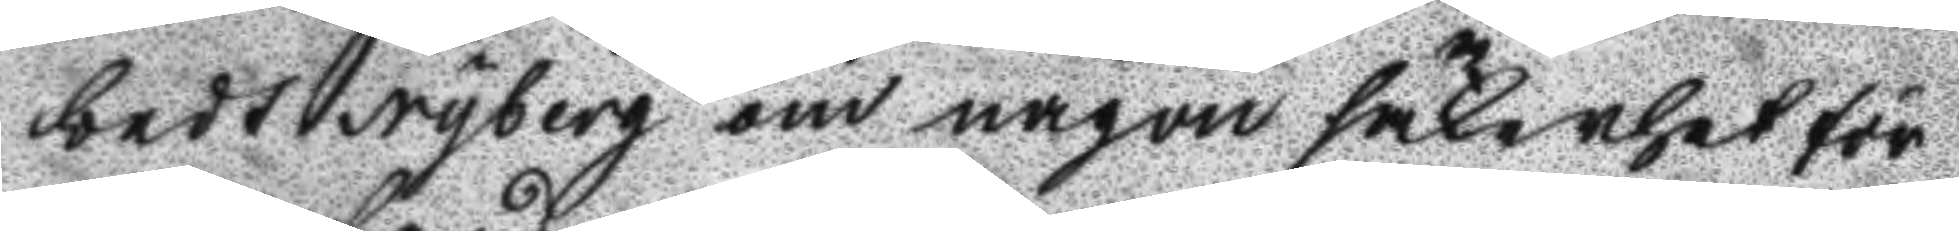bedt Nyberg om någon säkerhet för
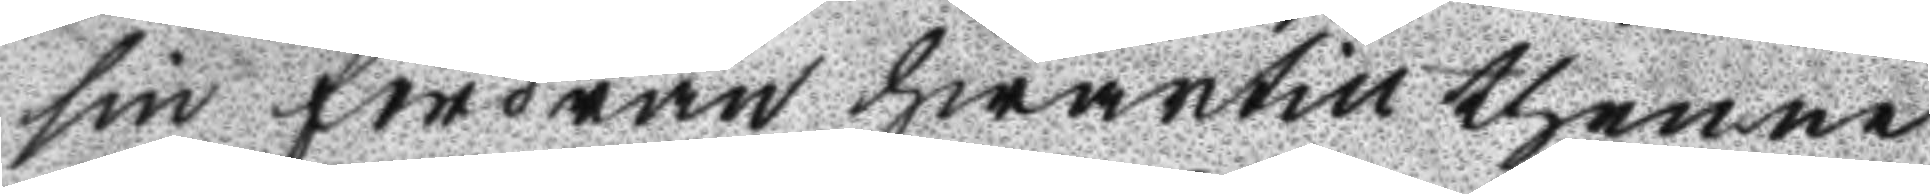sin fordran hwartill thenne
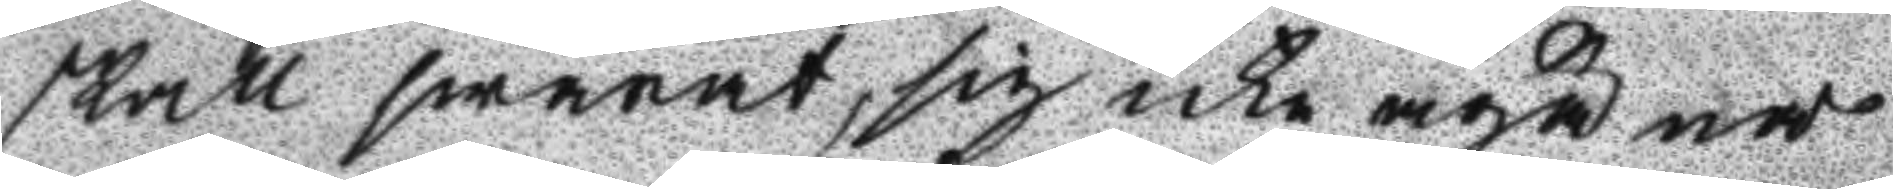skall swarat, sig icke äga nå
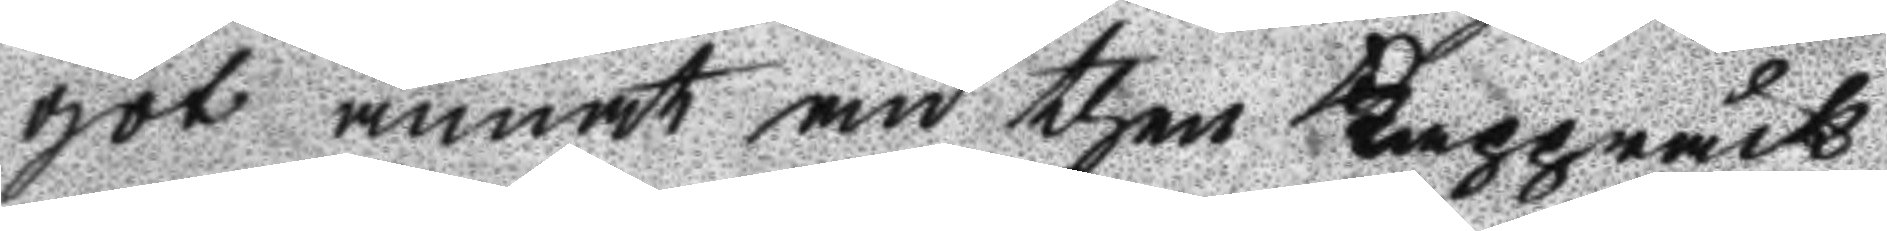got annat än then Kappråck
